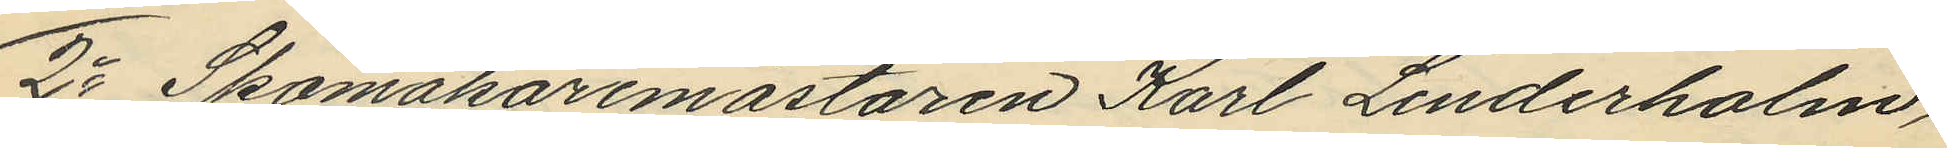2o Skomakaremästaren Karl Linderholm,
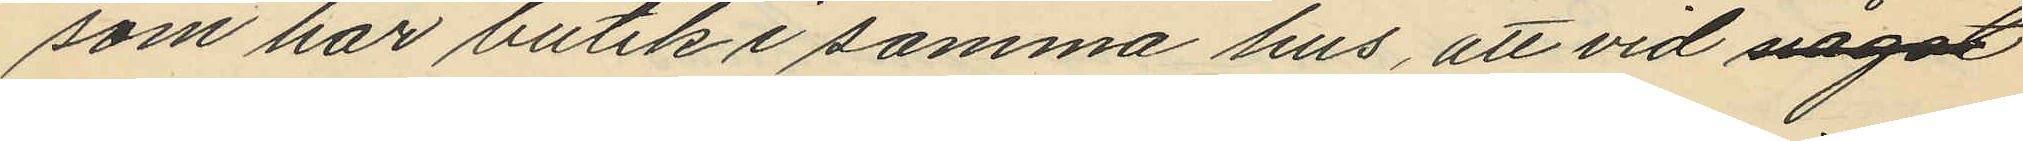som har butik i samma hus, att vid något
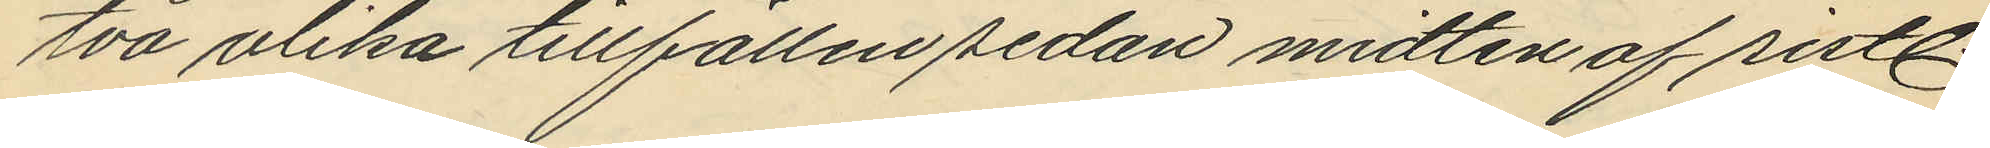två olika tillfällen sedan midten af sistl.
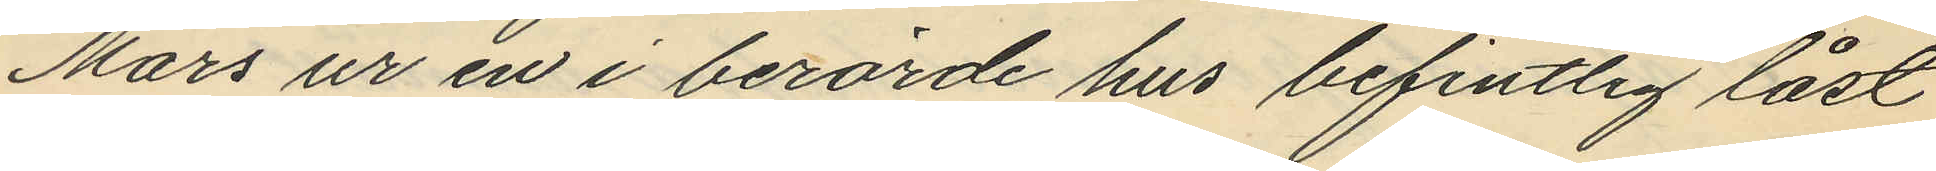Mars ur en i berörde hus befintlig låst
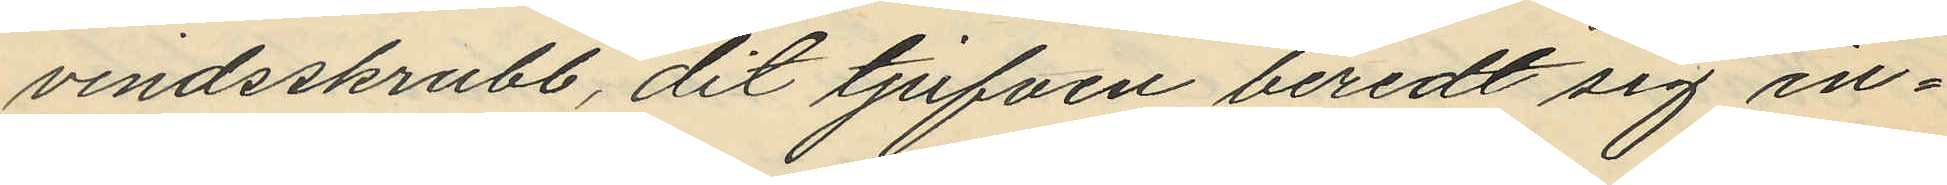vindsskrubb, dit tjufven beredt sig in¬
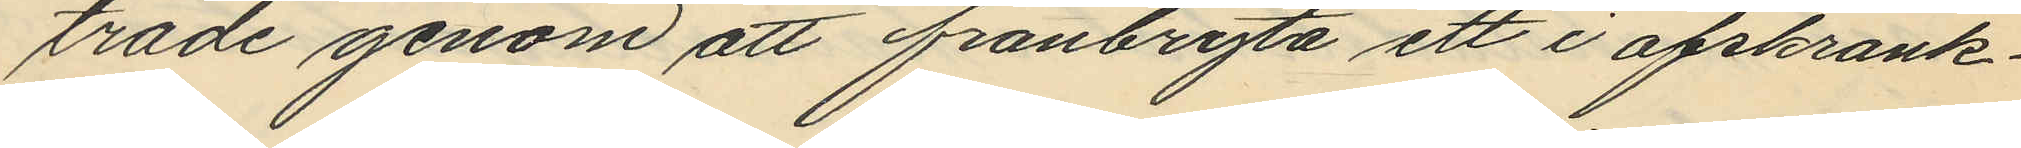träde genom att frånbryta ett i afskrank¬
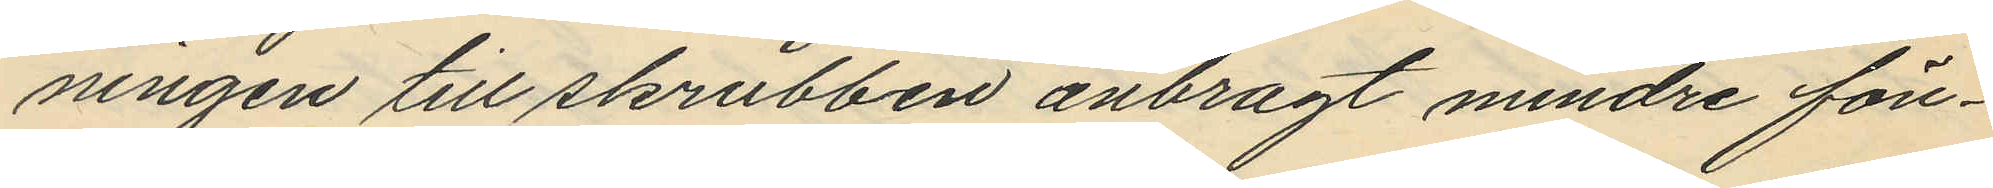ningen till skrubben anbragt mindre fön¬
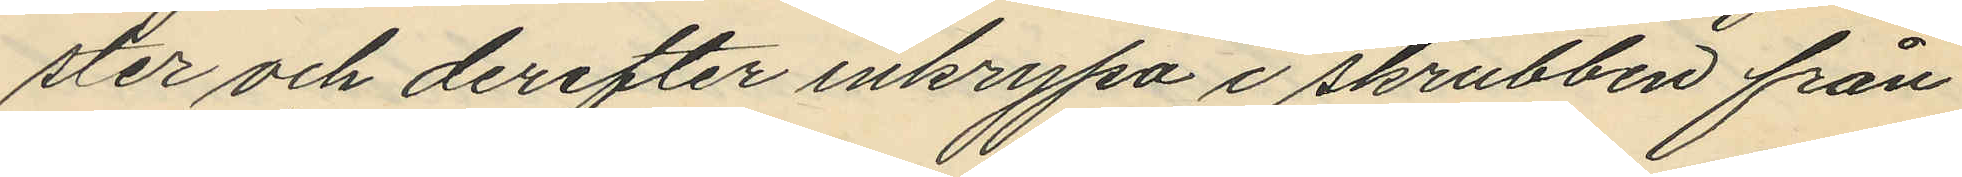ster och derefter inkrypa i skrubben från
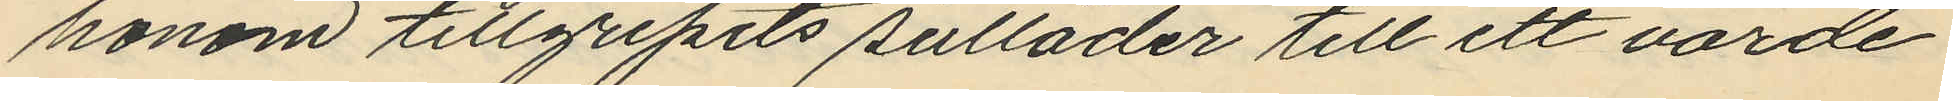honom tillgripits sulläder till ett värde
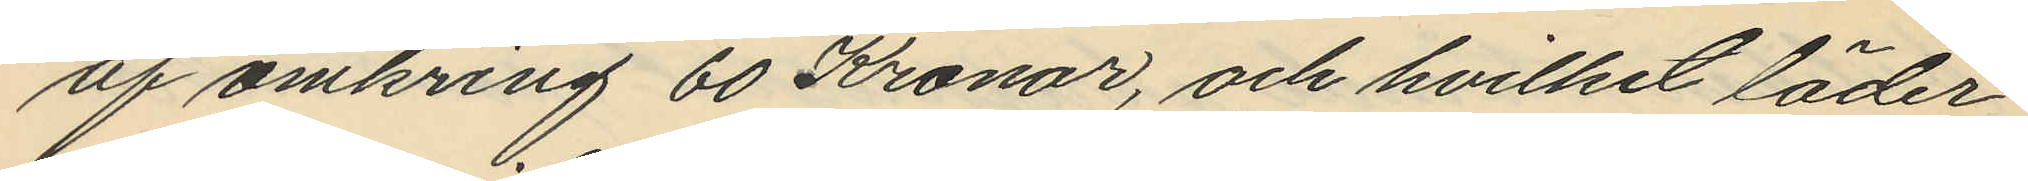af omkring 60 Kronor, och hvilket läder
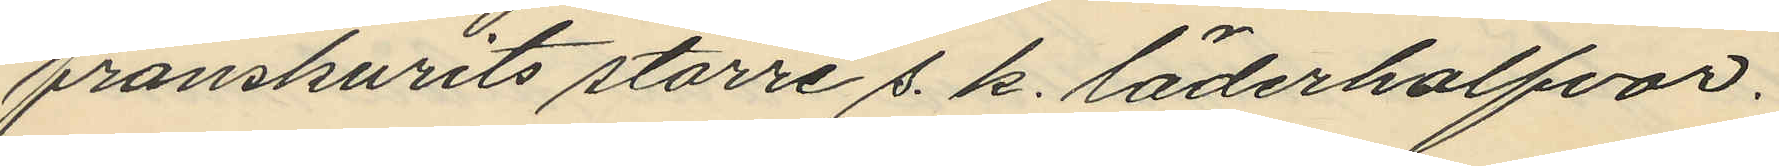frånskurits större s. k. läderhalfvar.
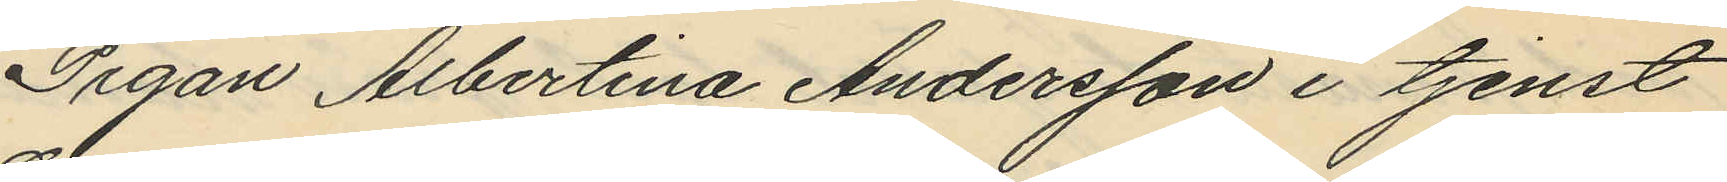Pigan Albertina Andersson i tjenst
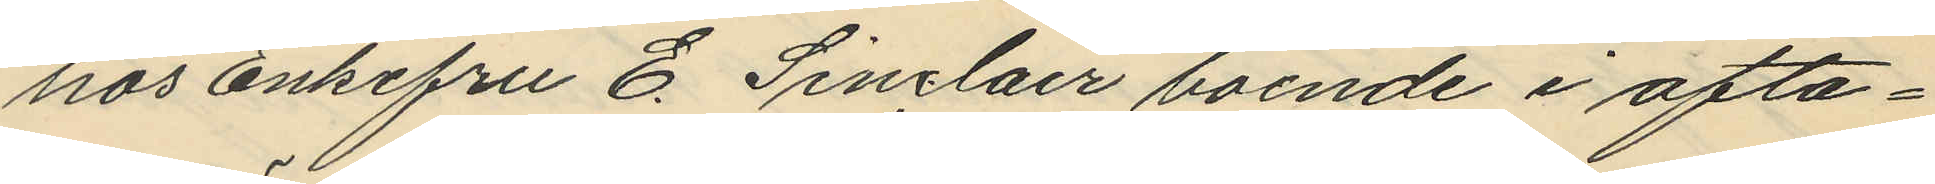hos enkefru E. Sinclair boende i ofta¬
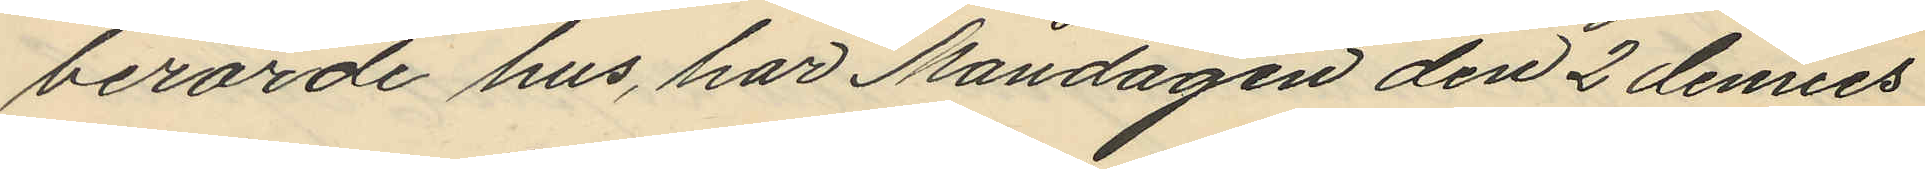berörde hus, har Måndagen den 2 dennes
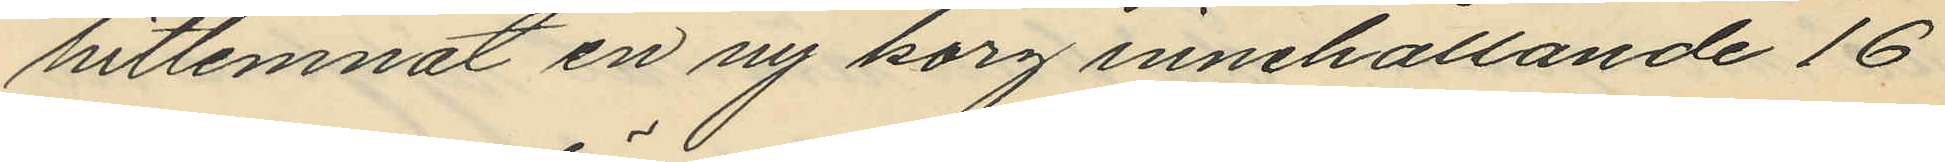hitlemnat en ny korg innehållande 16
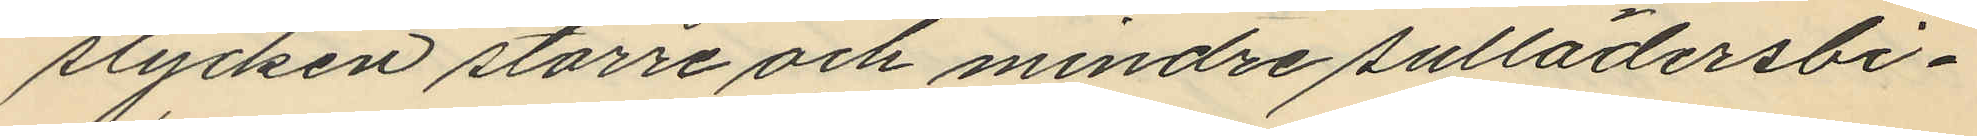stycken större och mindre sullädersbi¬
